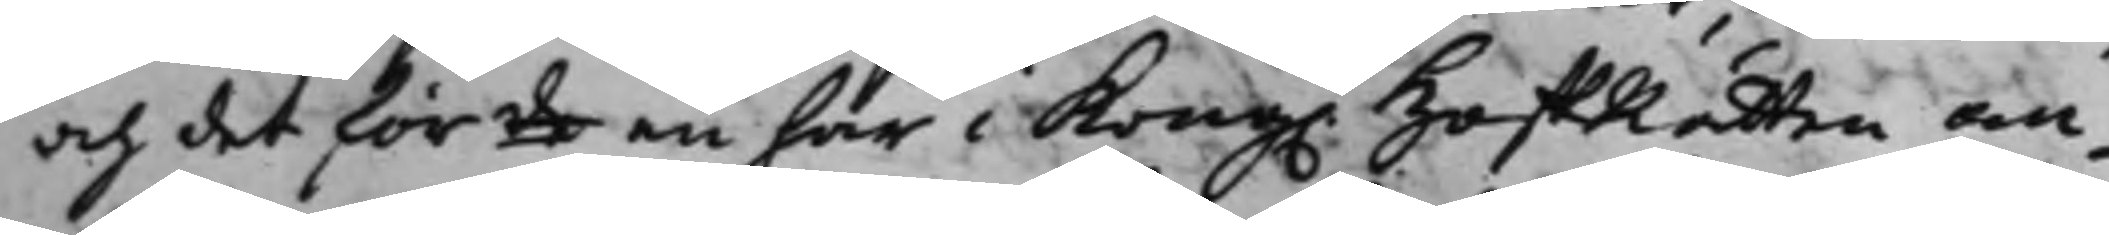och det för de en här i Kong. HoffRätten an¬
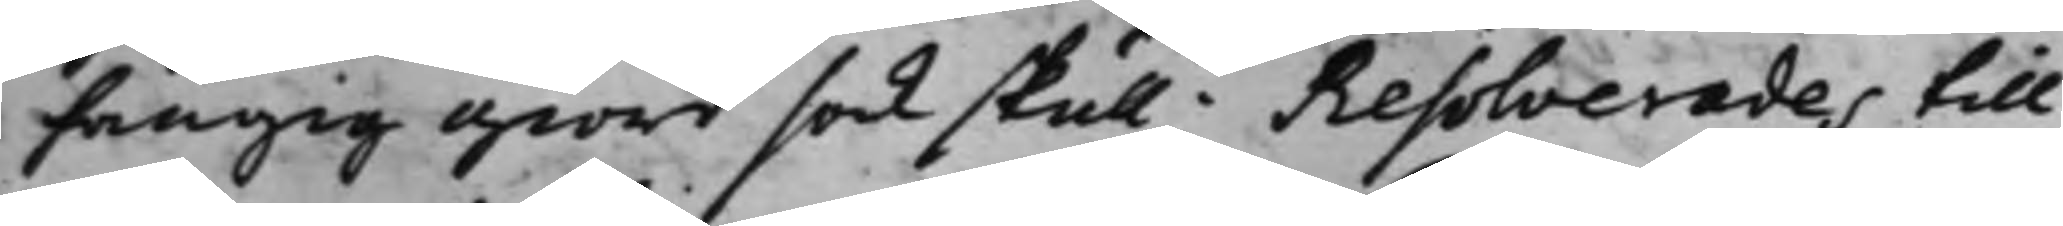hängig giord sak skull; Resolverades till
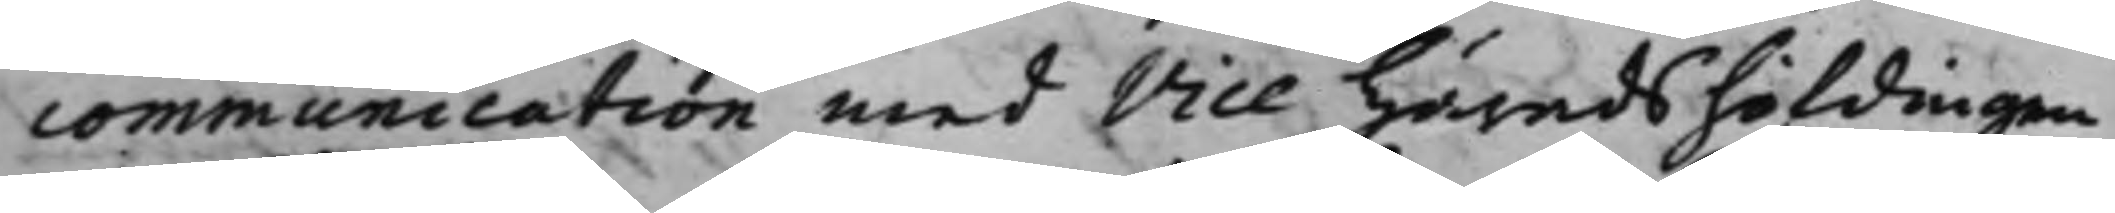communication med Vice Häradshöfdingen
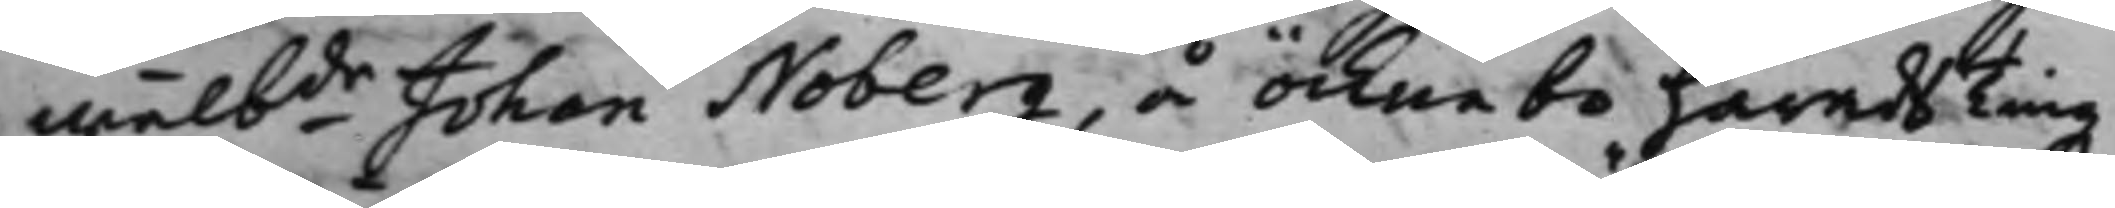Wälbde Johan Noberg, å Öcknebo Härads Tingz¬
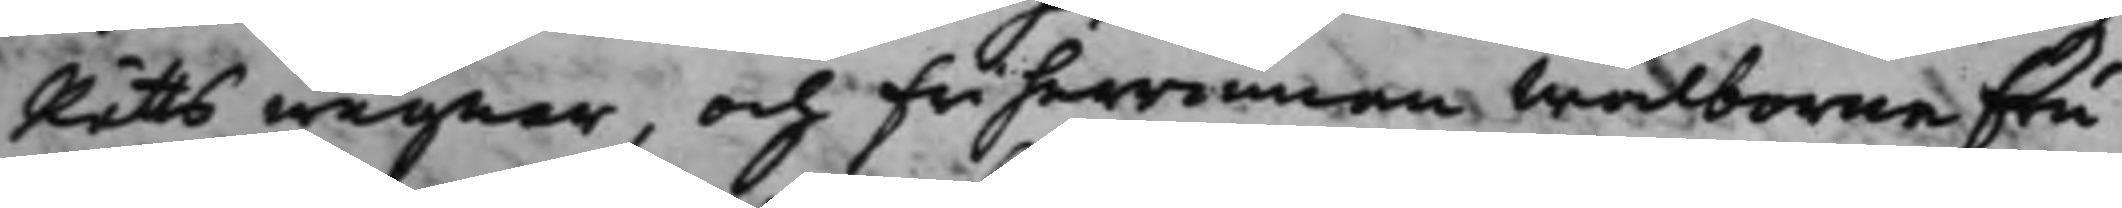Rätts wägnar, och Friherrinnan Wälborne Fru
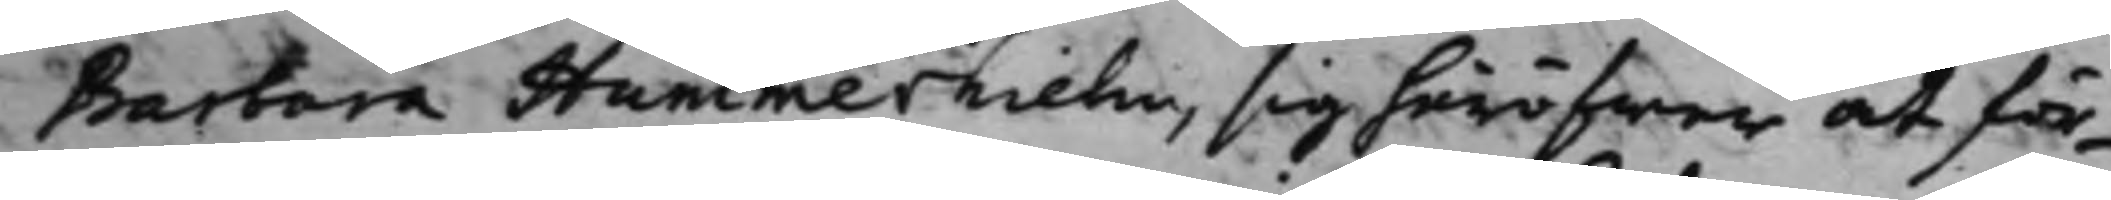Barbara Hummerhielm, sig häröfwer at för¬
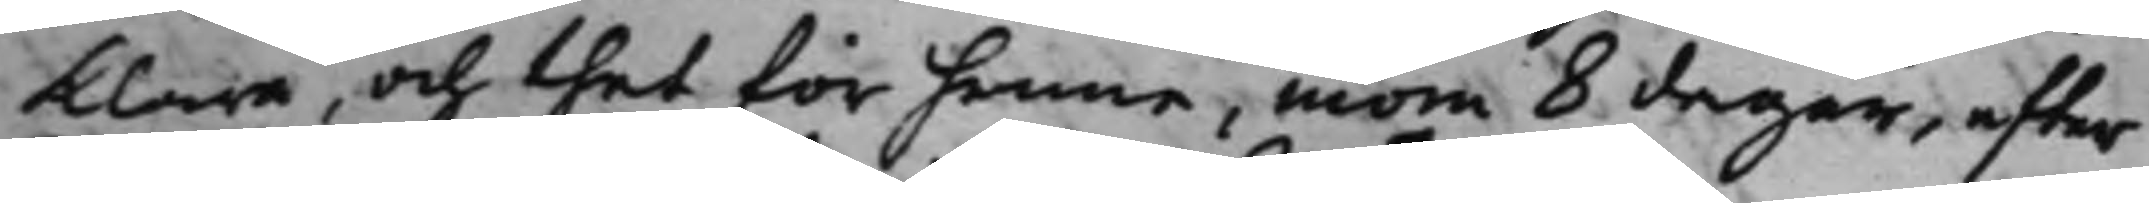klara, och thet för henne, inom 8 dagar, efter
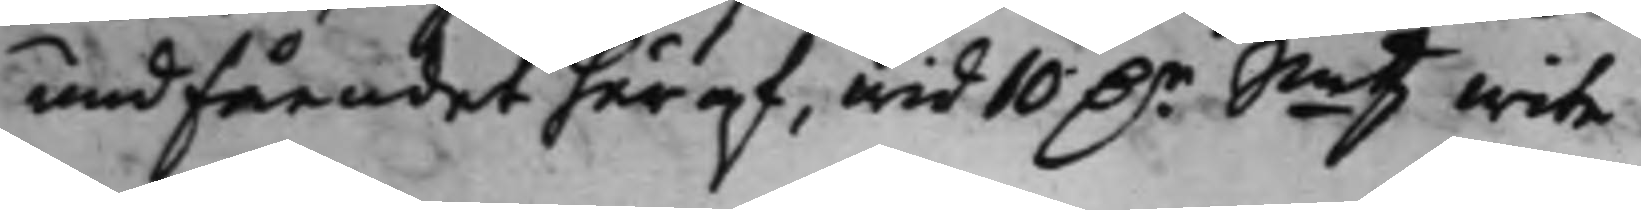undfåendet häraf, wid 10 D.r Smtz wite.
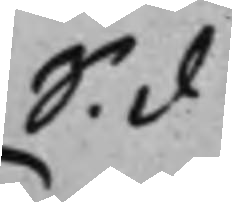S. d
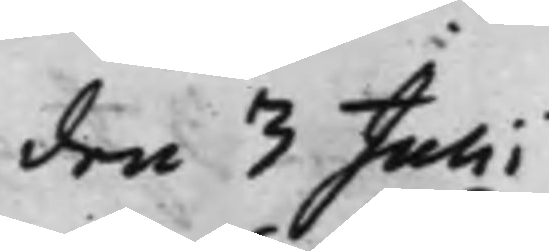den 3 Julii
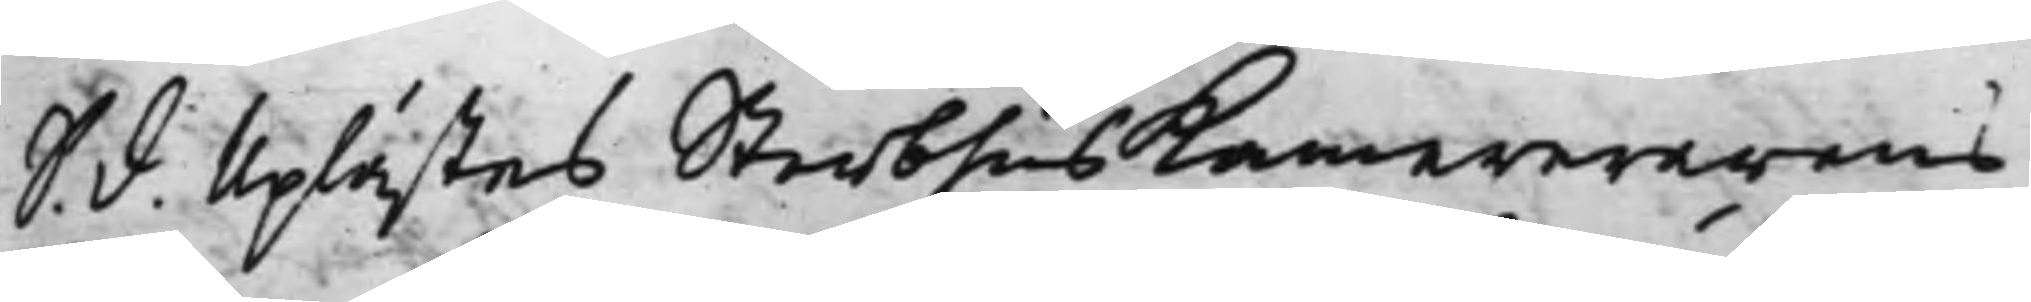S. d. Uplästes SterbhusKamererarens
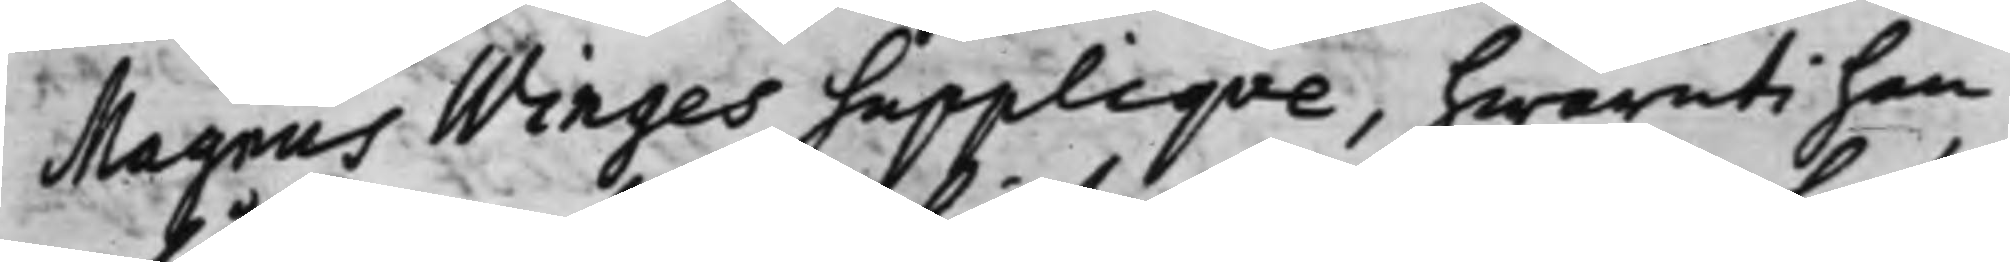Magnus Winges Suppliqve, hwaruti han
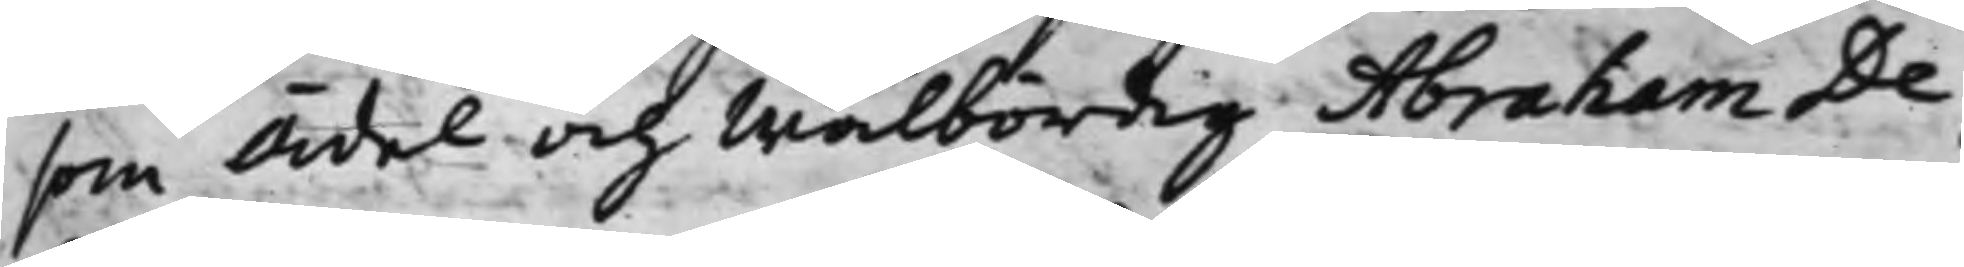som Ädel och Wälbördig Abraham De
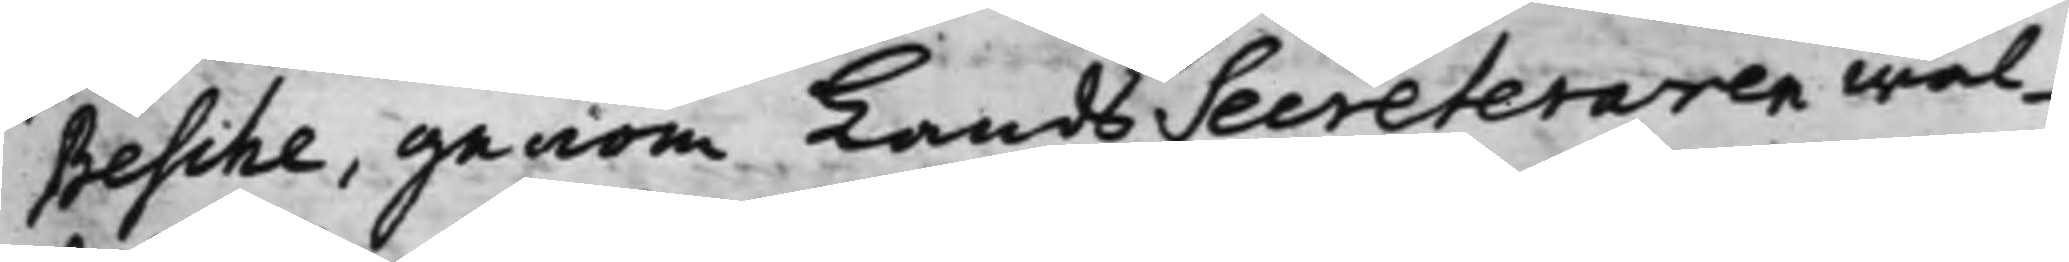Besche, genom LandsSecreteraren Wäl¬
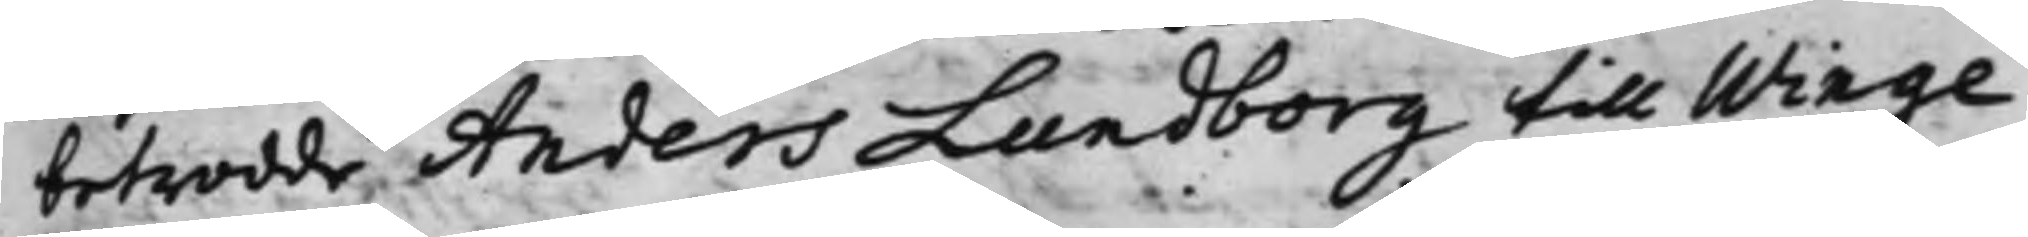betrodde Anders Lundborg till Winge
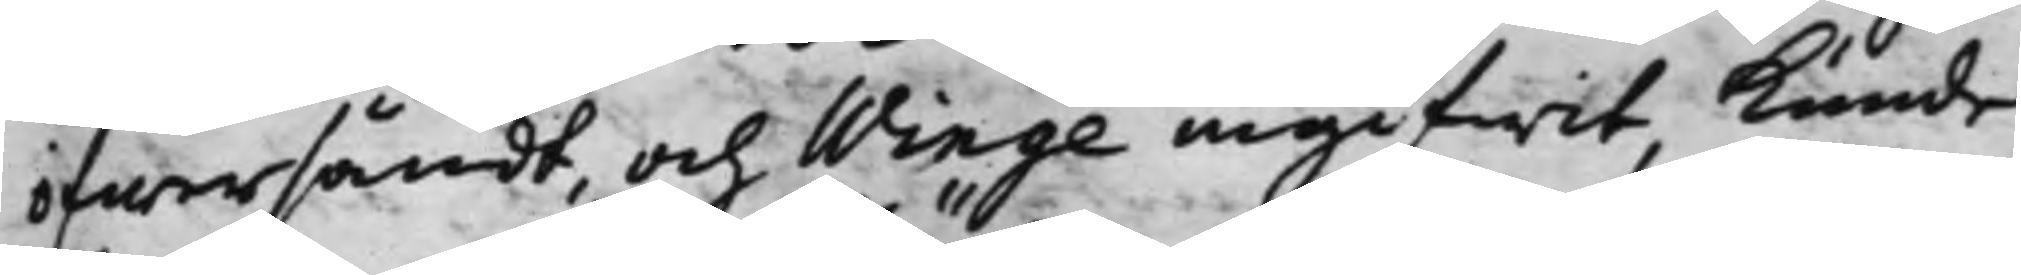öfwersändt, och Winge ingifwit, kunde
